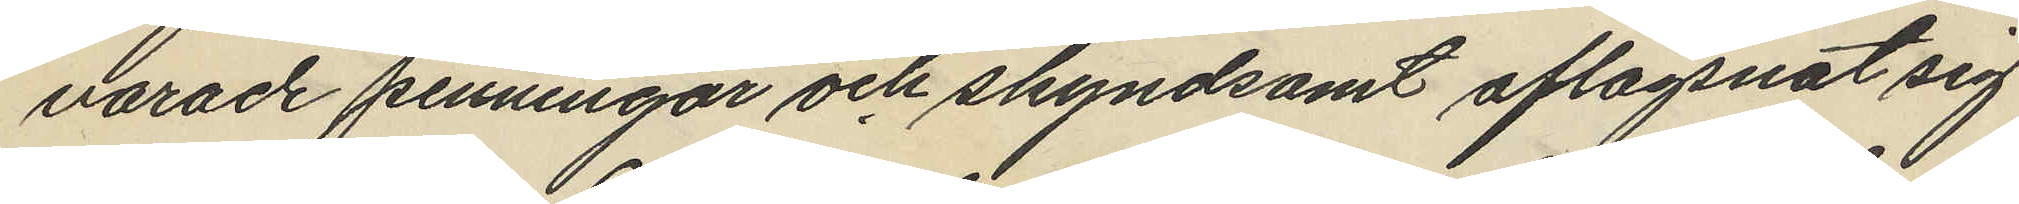varade penningar och skyndsamt aflägsnat sig
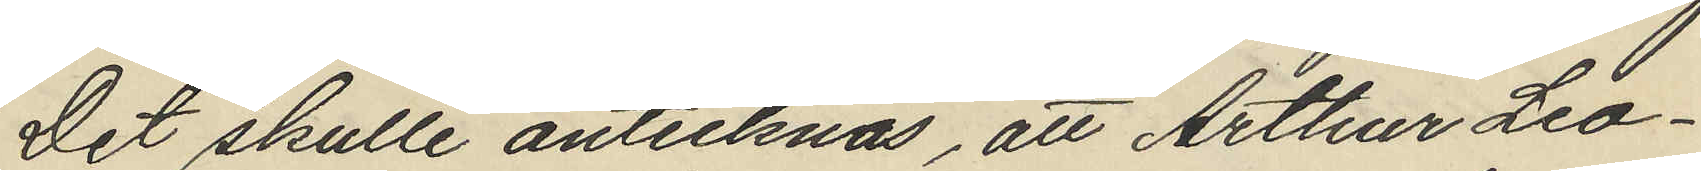Det skulle antecknas, att Arthur Leo¬
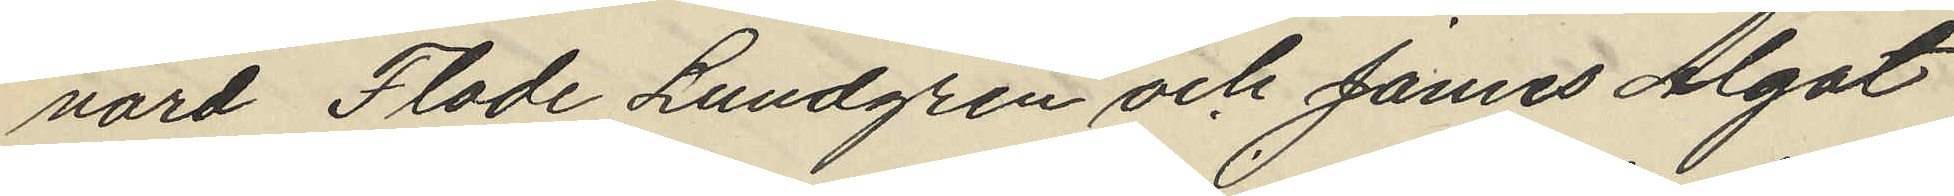nard Flode Lundgren och James Algot
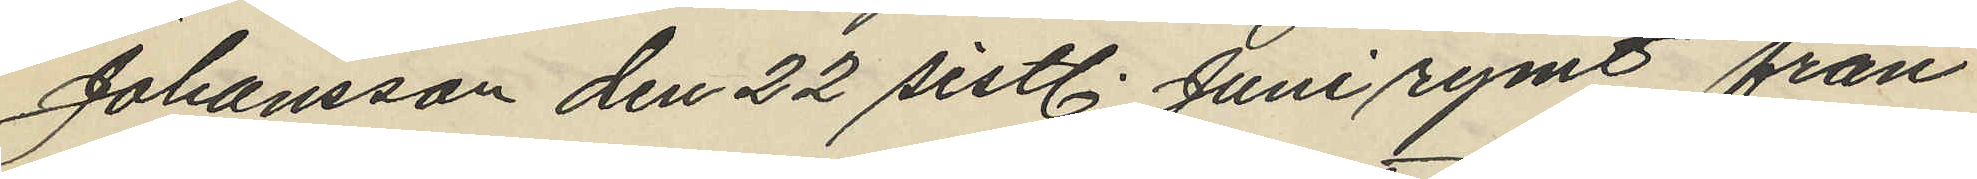Johansson den 22 sistl. Juni rymt från
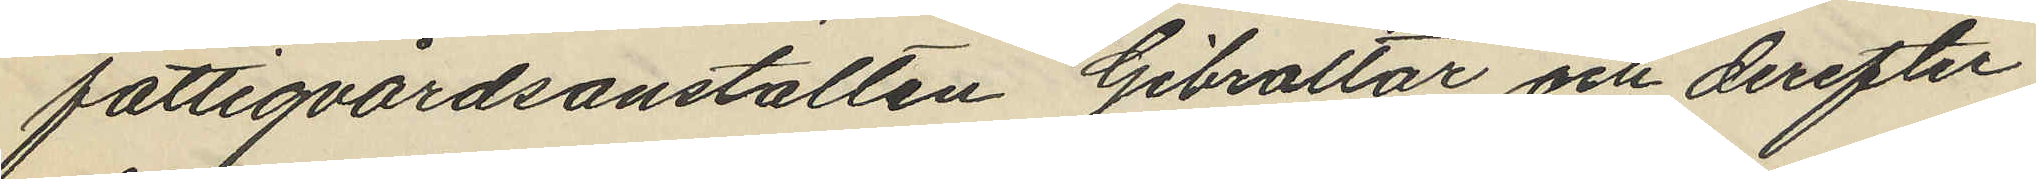fattigvårdsanstalten Gibraltar och derefter
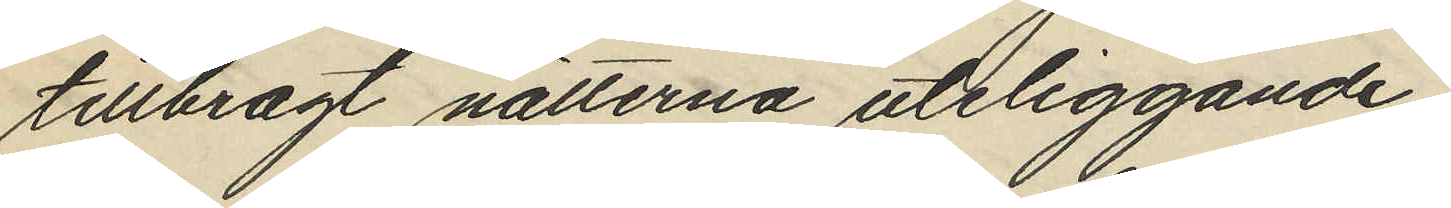tillbragt nätterna utliggande
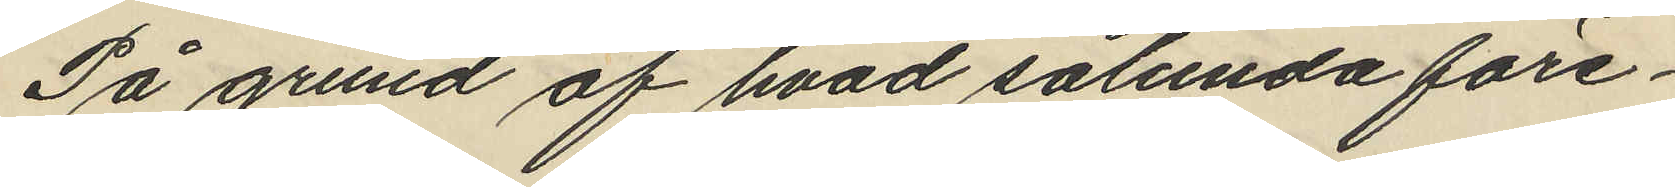På grund af hvad sålunda före¬
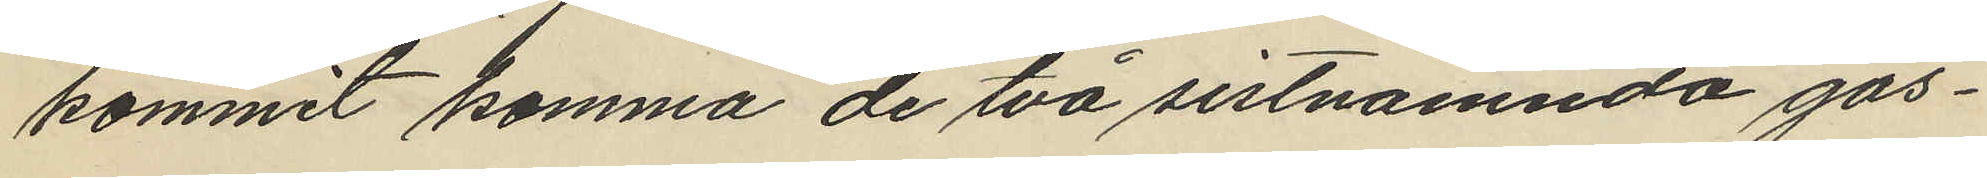kommit komma de två sistnämnda gos¬
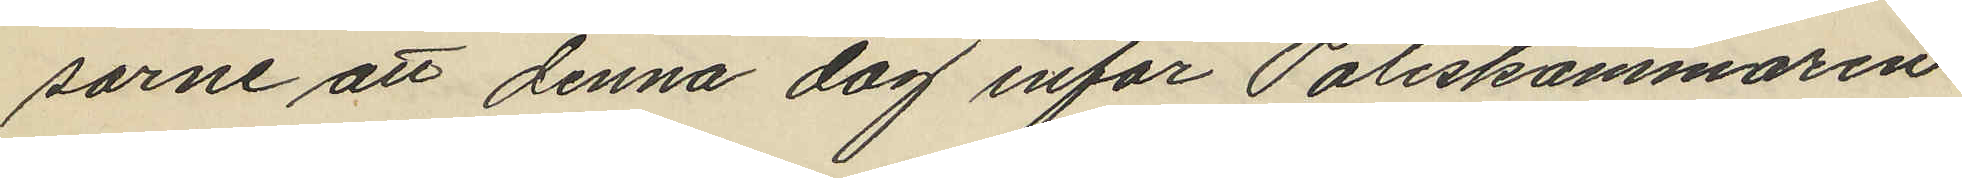sarne att denna dag inför Poliskammaren
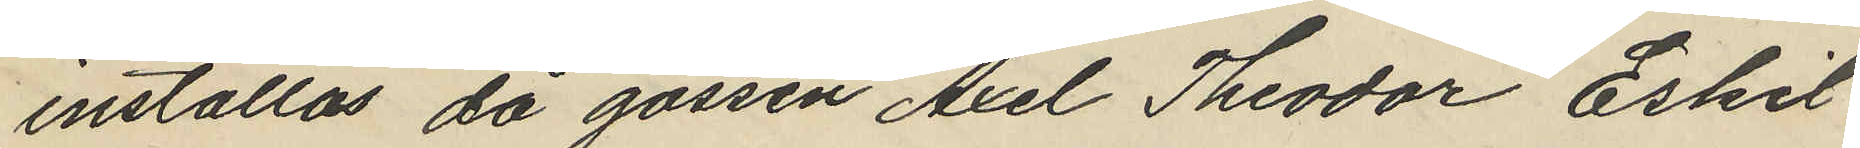inställas då gossen Axel Theodor Eskil
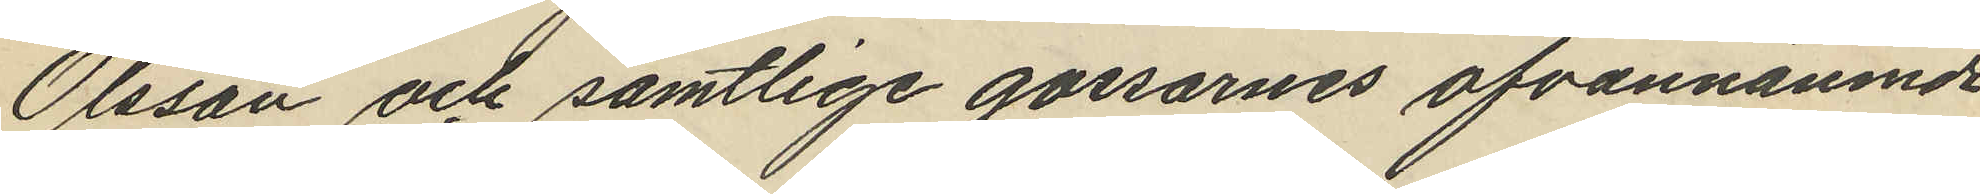Olsson och samtlige gossarnes ofvannämnde
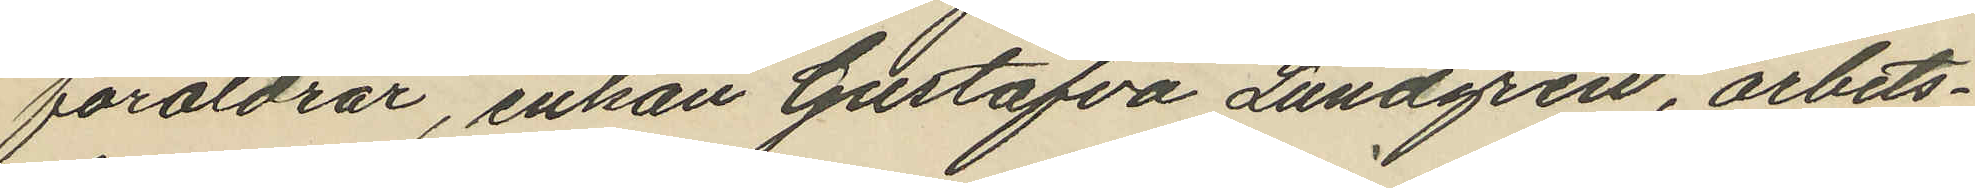föräldrar, enkan Gustafva Lundgren, arbets¬
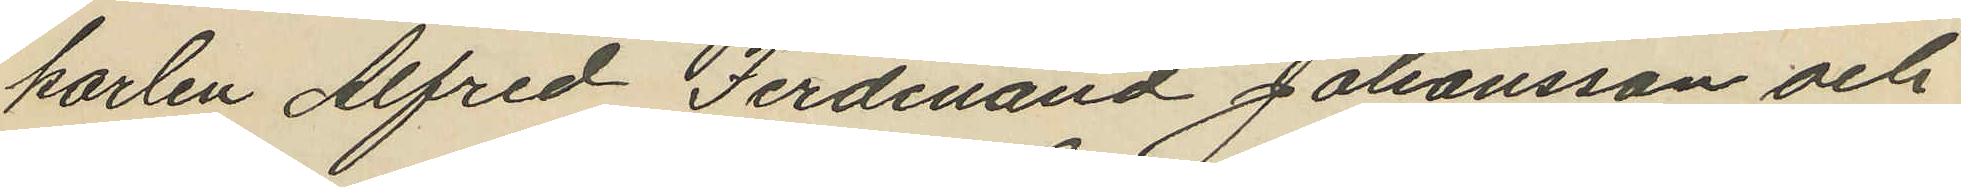karlen Alfred Ferdinand Johansson och
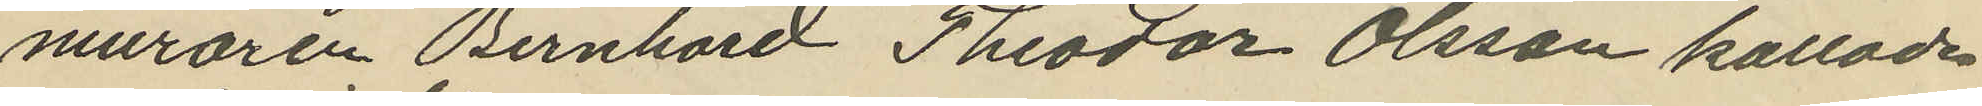muraren Bernhard Theodor Olsson kallade
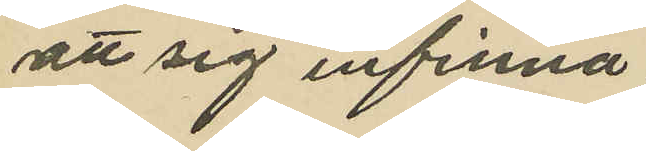att sig infinna
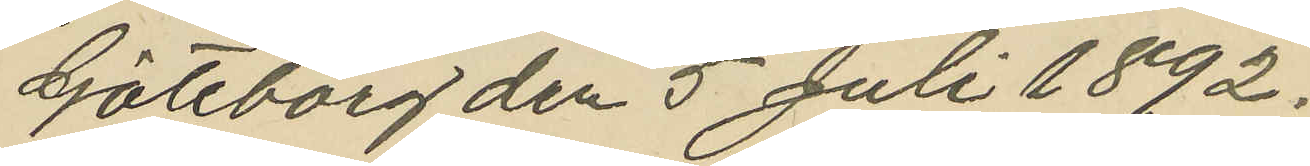Göteborg den 5 Juli 1892.
